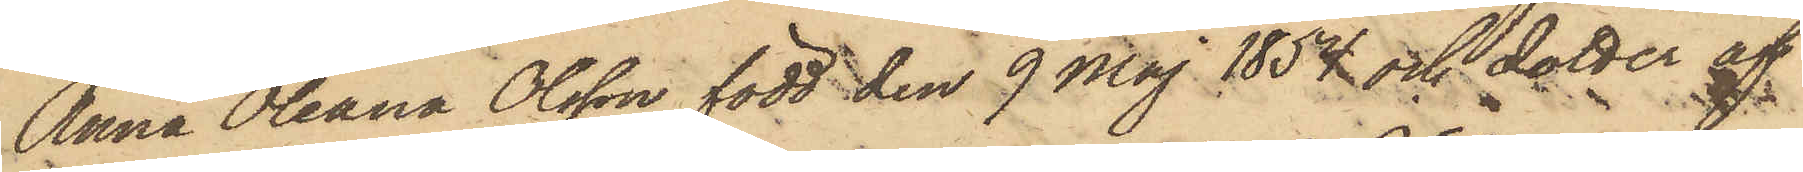Anna Oleana Olsson, född den 9 Maj 1854 och dotter af
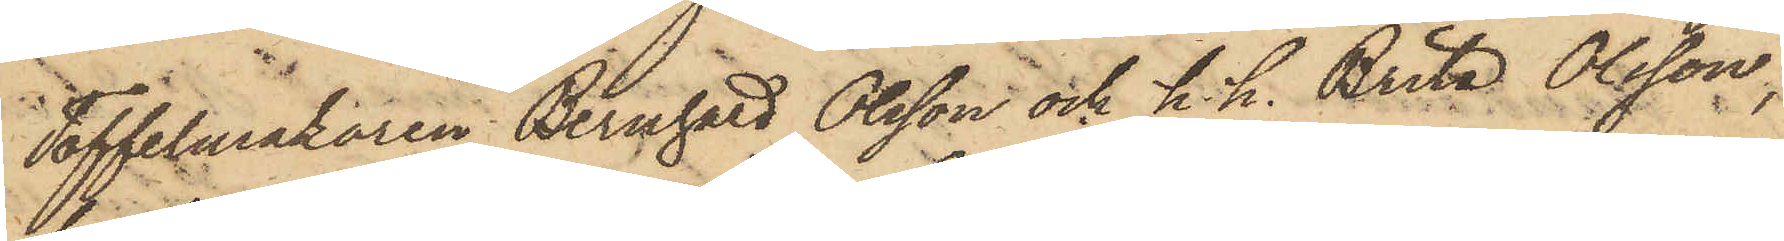Toffelmakaren Bernhard Olsson och h. h. Brita Olsson,
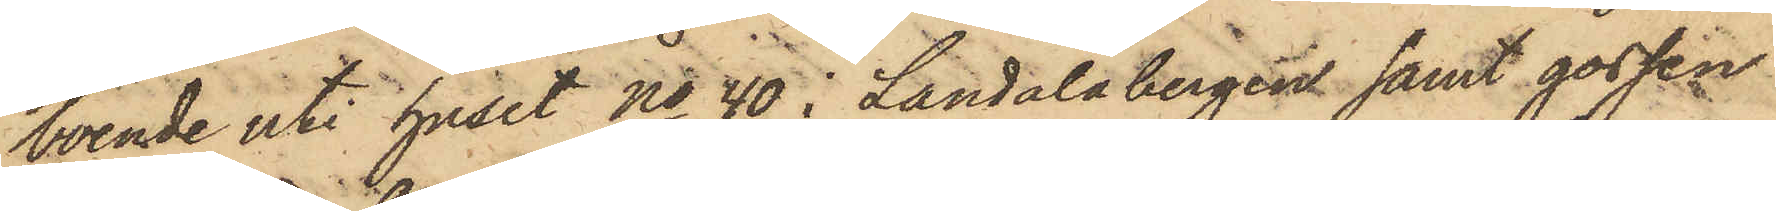boende uti huset No 40 i Landalabergen samt gossen
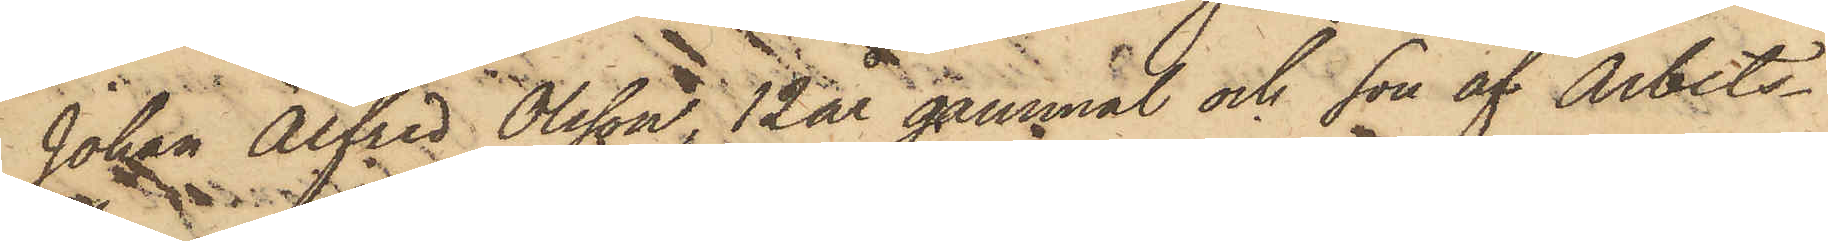Johan Alfred Olsson, 12 år gammal och son af Arbets¬
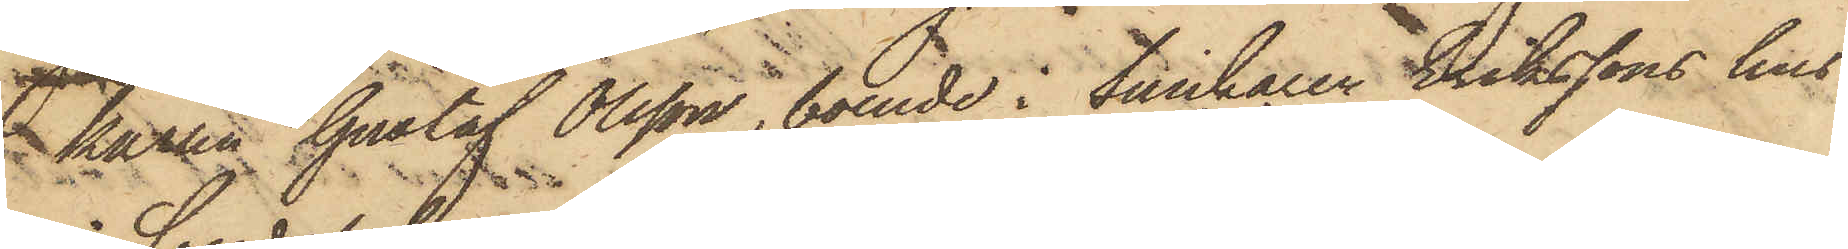karlen Gustaf Olsson, boende i Snickaren Erikssons hus
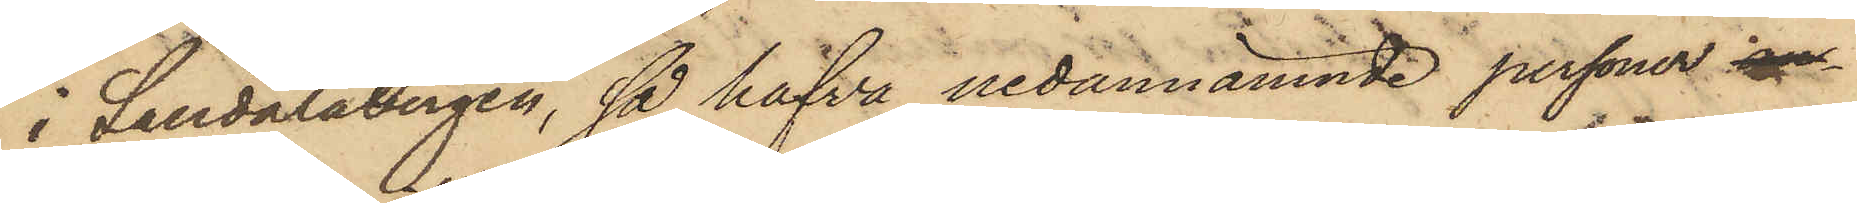i Landalabergen, så hafva nedannämnde personer an¬
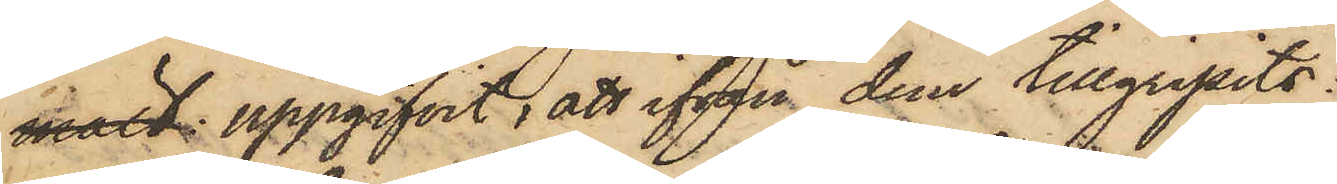mält uppgifvit, att ifrån dem tillgripits:
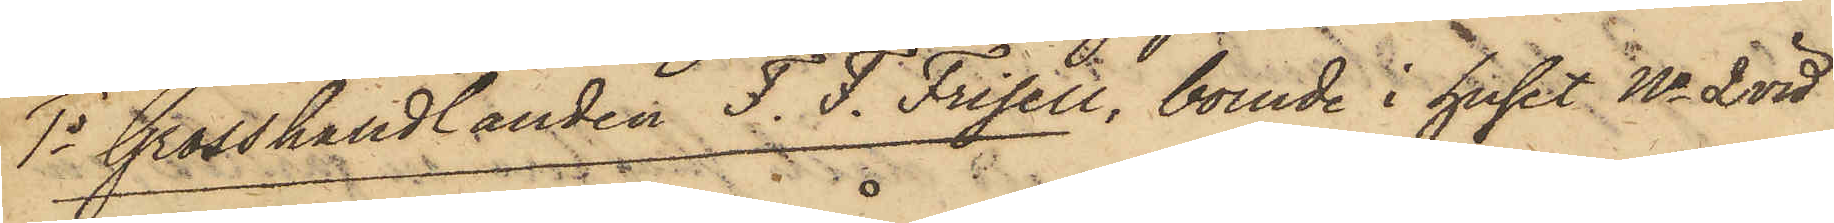1o Grosshandlanden F. F. Frisell, boende i huset No 2 vid
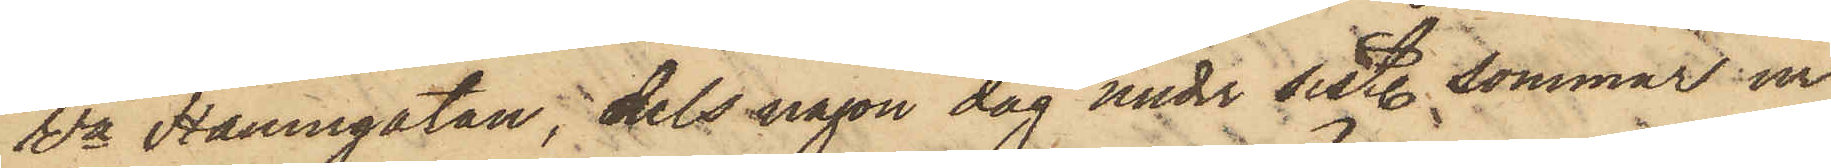Wa Hamngatan, dels någon dag under sist. sommar ur
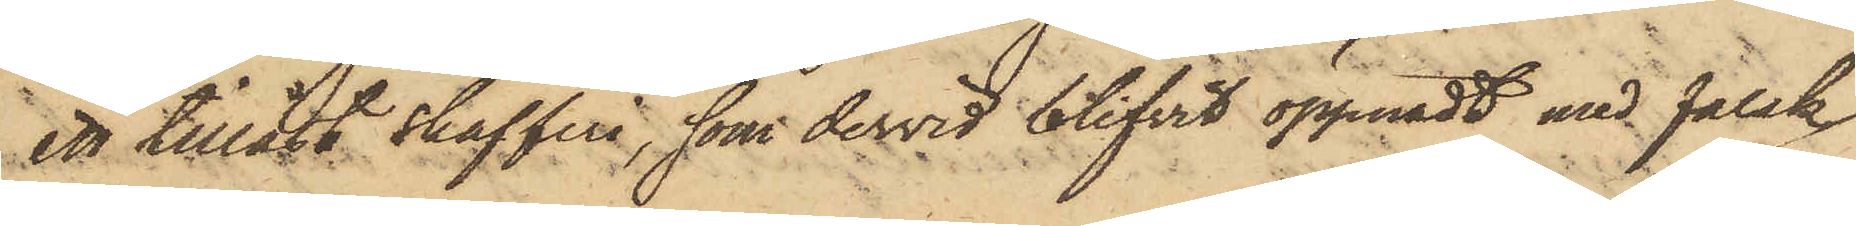ett tillåst skafferi, som dervid blifvit öppnadt med falsk
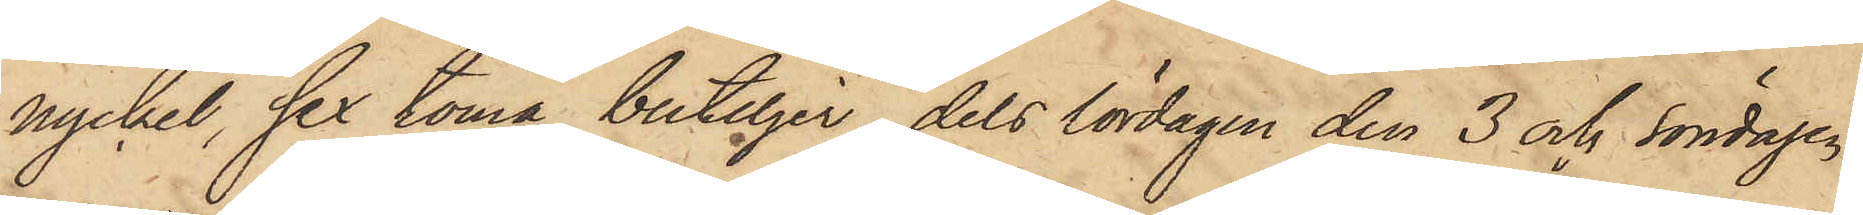nyckel, sex toma buteljer, dels lördagen den 3 och Söndagen
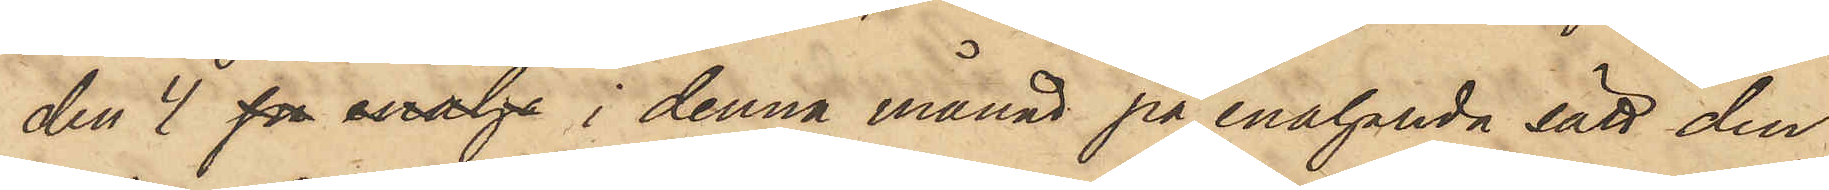den 4 på enaha i denna månad på enahanda sätt den
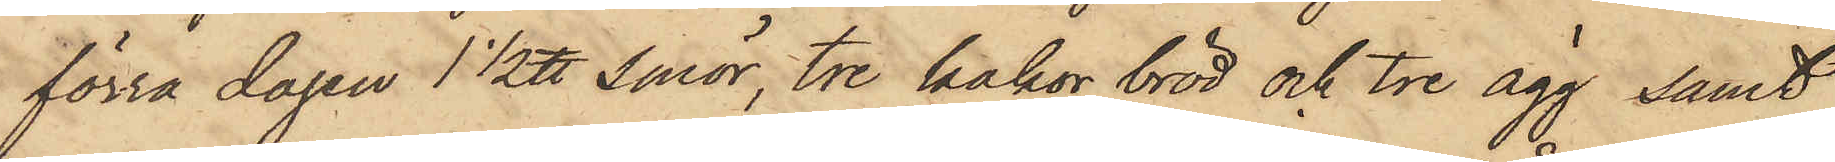förra dagen 1 1/2 ℔ smör, tre kakor bröd och tre ägg samt
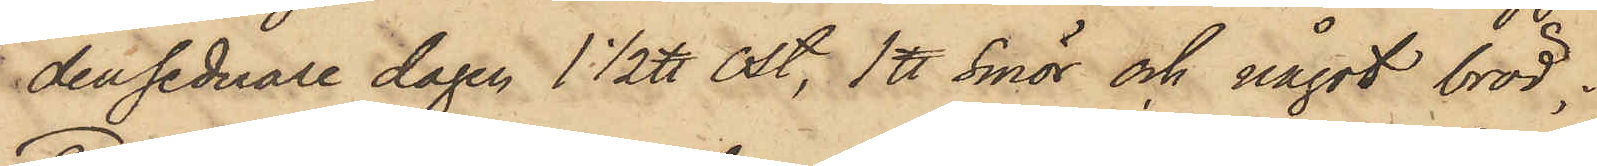den sederare dagen 1 1/2 ℔ ost, 1 ℔ smör och något bröd;
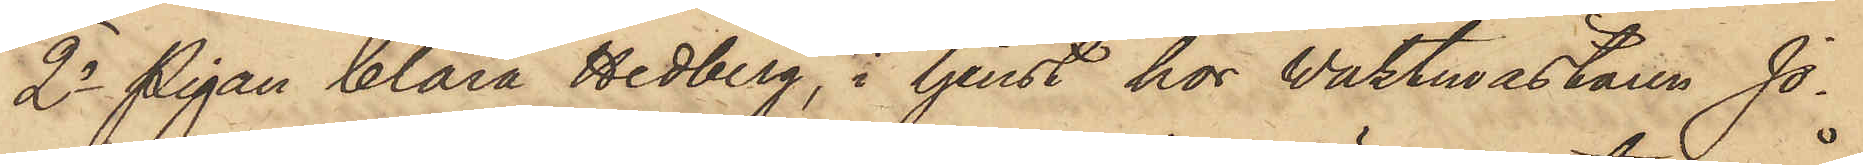2o Pigan Clara Hedberg, i tjenst hos Waktmästaren Jo¬
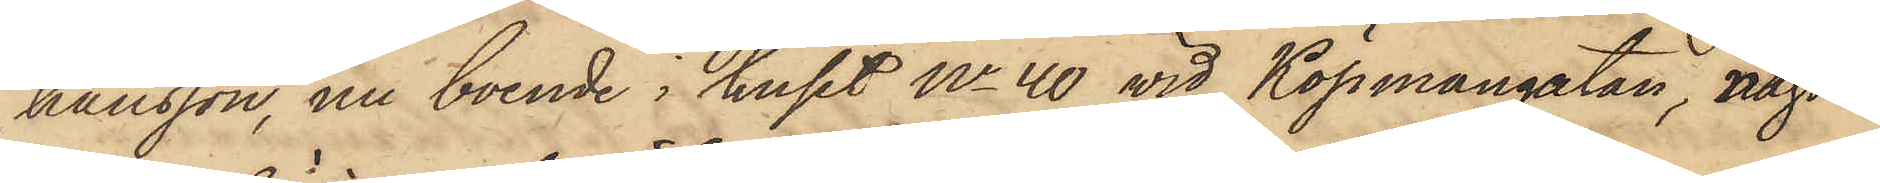hansson, nu boende i huset No 40 vid Köpmangatan, någon
